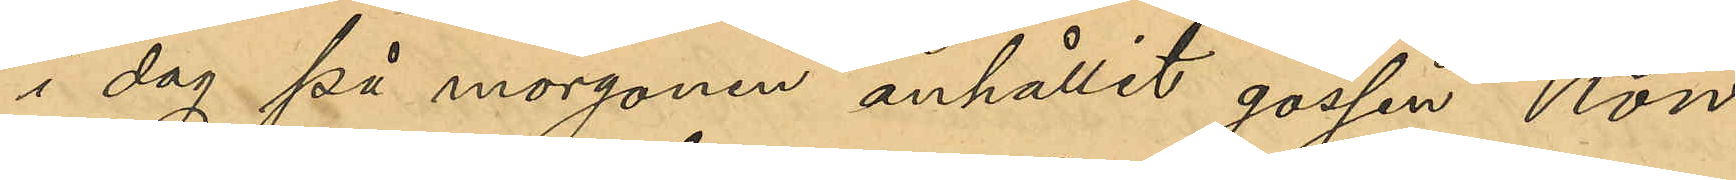i dag på morgonen anhållit gossen Kon¬
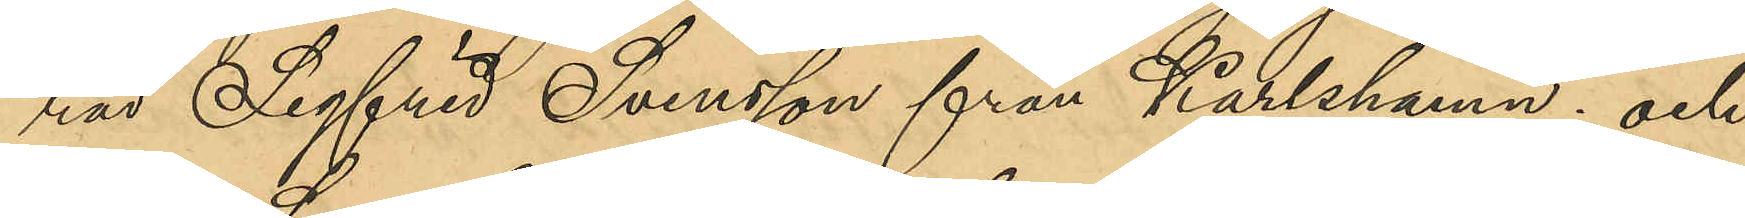rad Sigfrid Svensson från Karlshamn; och
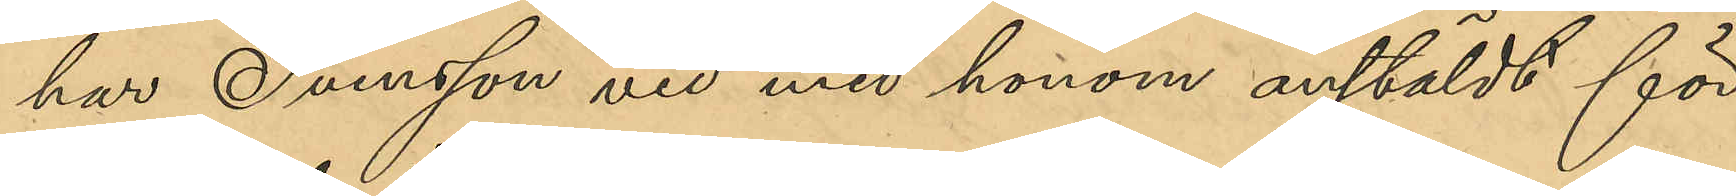har Svensson vid med honom anstäldt för¬
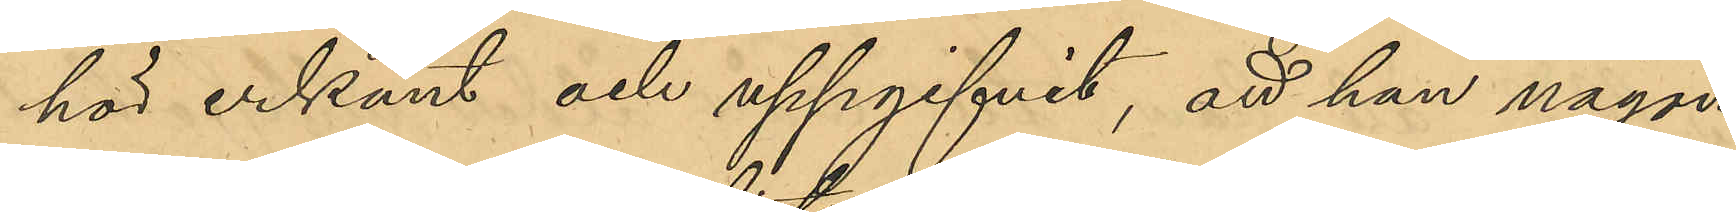hör erkänt och uppgifvit, att han någon
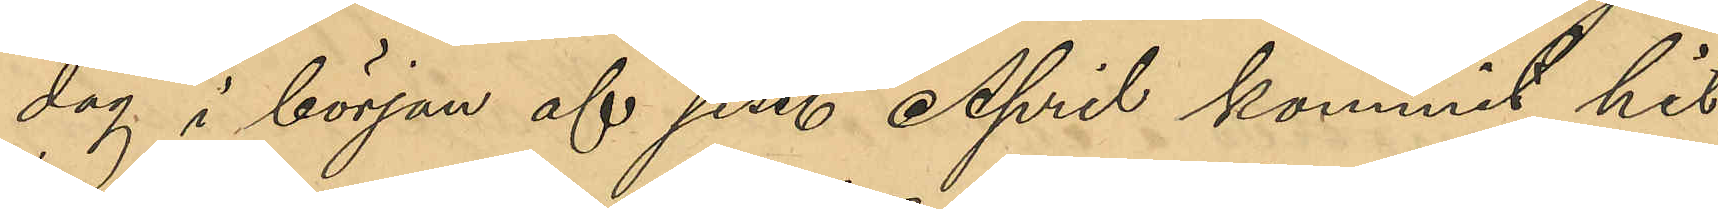dag i början af sist. April kommit hit
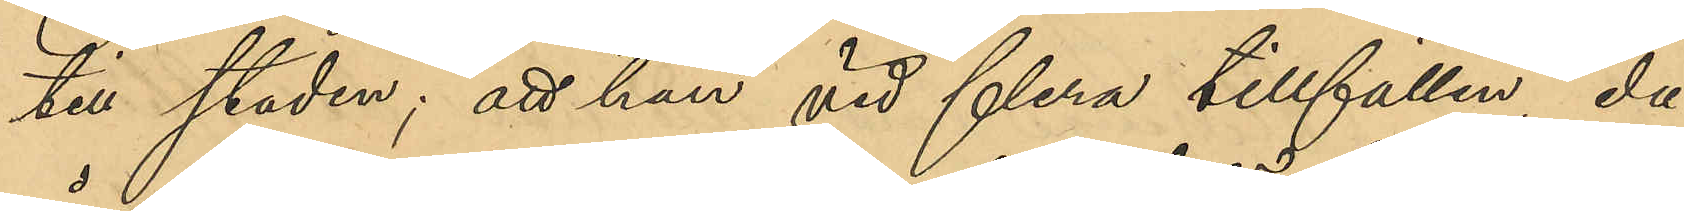till staden; att han vid flera tillfällen, då
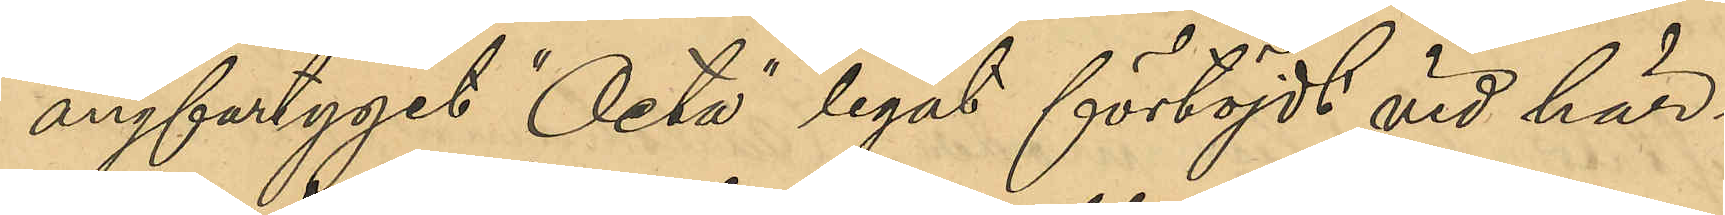ångfartyget "Octa" legat förtöjdt vid här¬
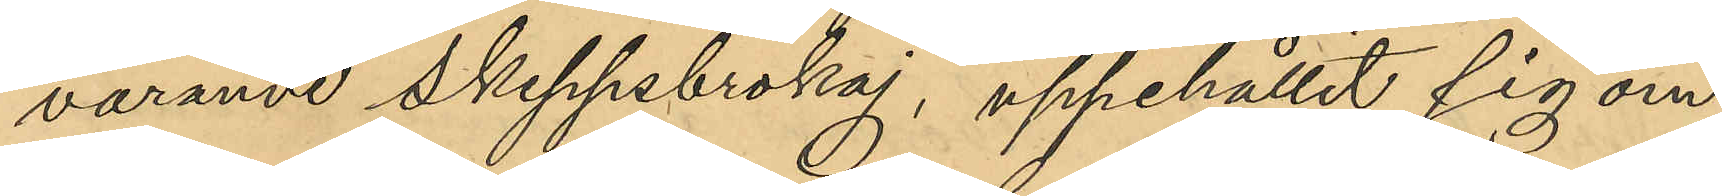varande Skeppsbrokaj, uppehållit sig om¬
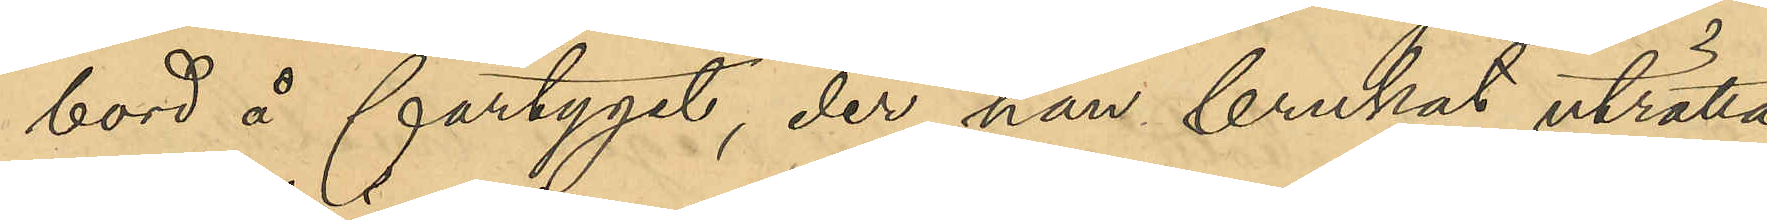bord å fartyget, der han brukat uträtta
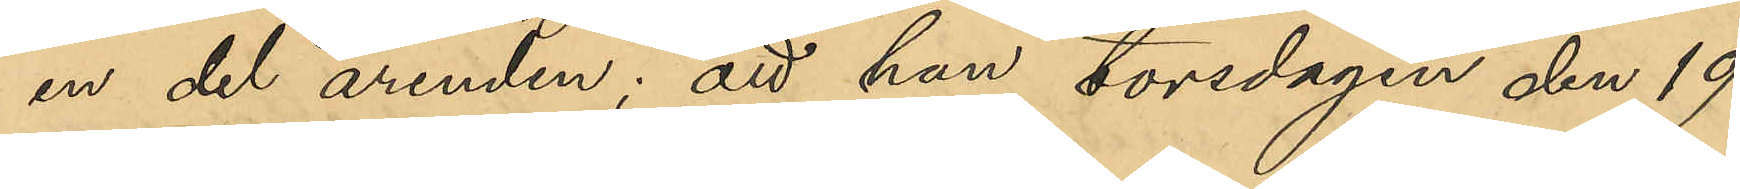en del ärenden; att han torsdagen den 19
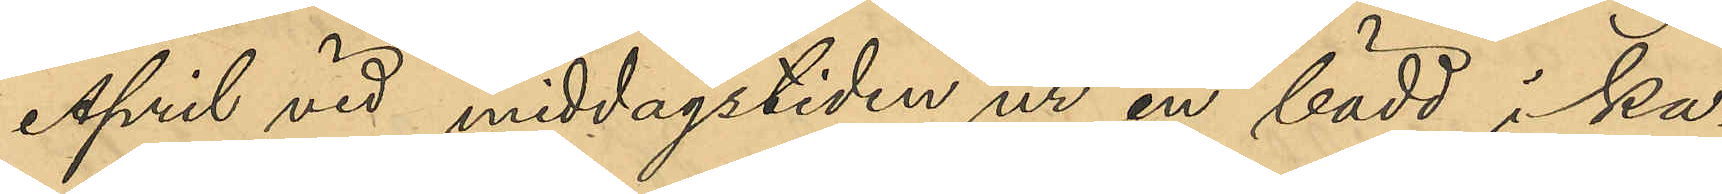April vid middagstiden ur en låda i ka¬
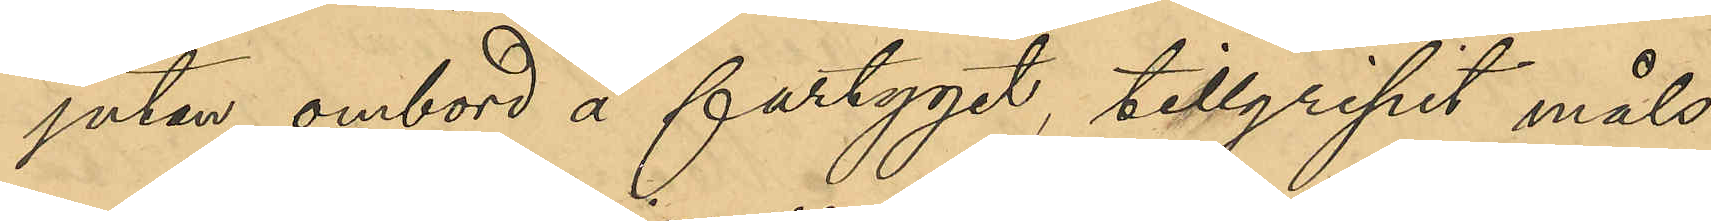jutan ombord å fartyget, tillgripit måls¬
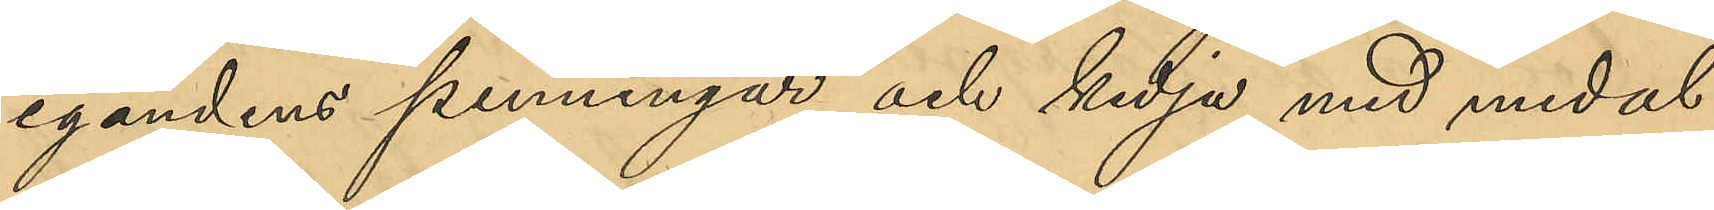egandens penningar och kedja med medal¬
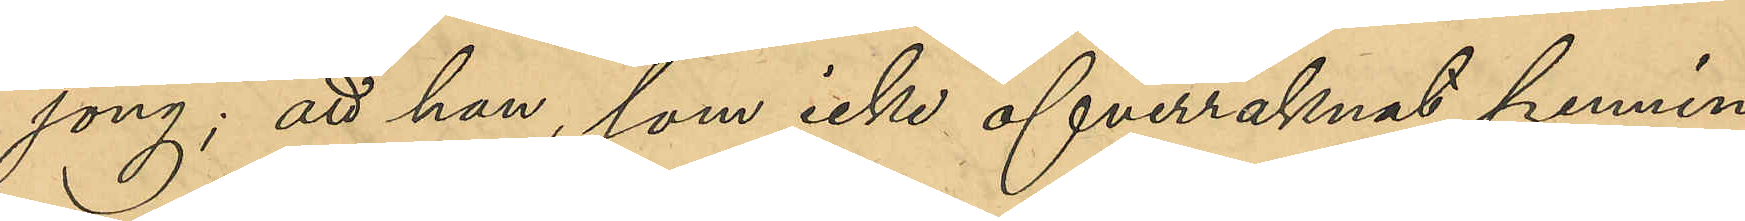jong; att han, som icke öfverräknat pennin¬
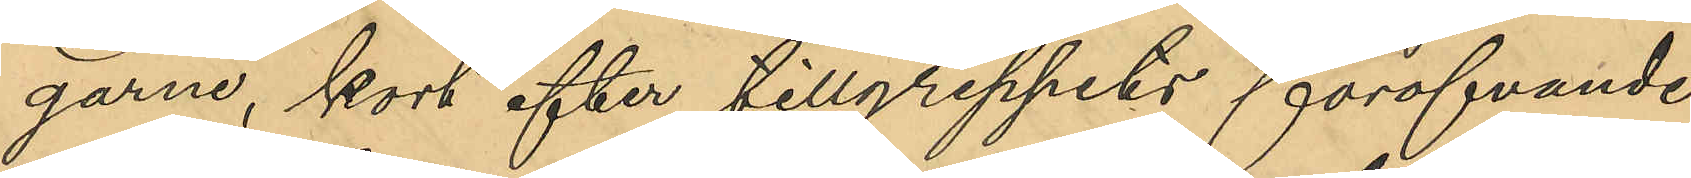garne, kort efter tillgreppets föröfvande
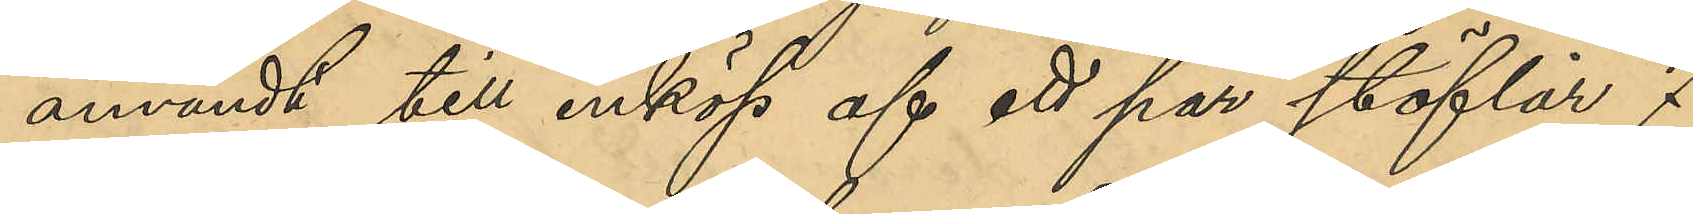användt till inköp af ett par stöfvlar 7
